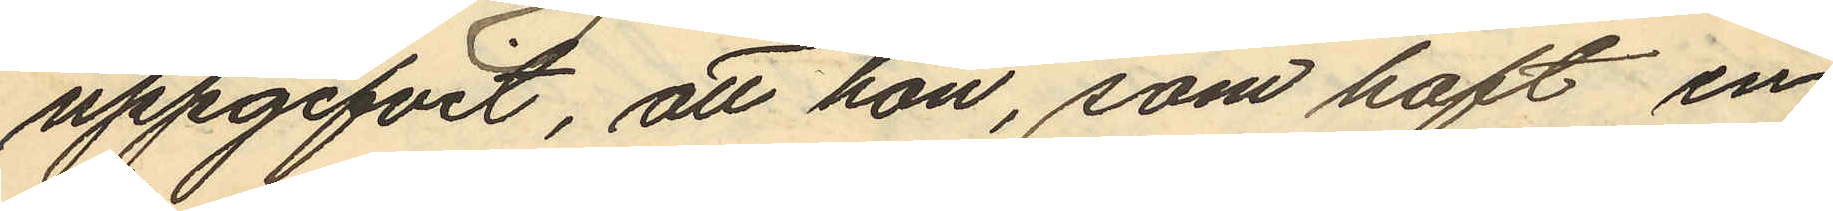uppgifvit, att hon, som haft en
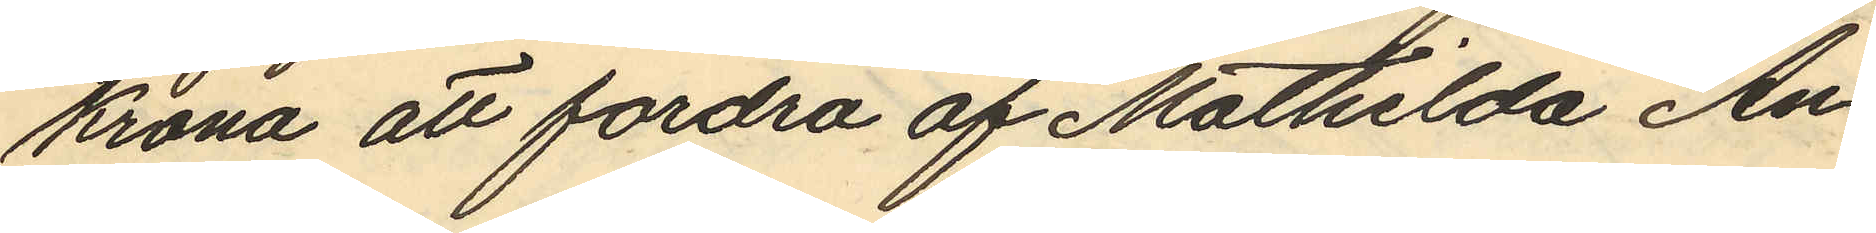Krona att fordra af Mathilda An¬
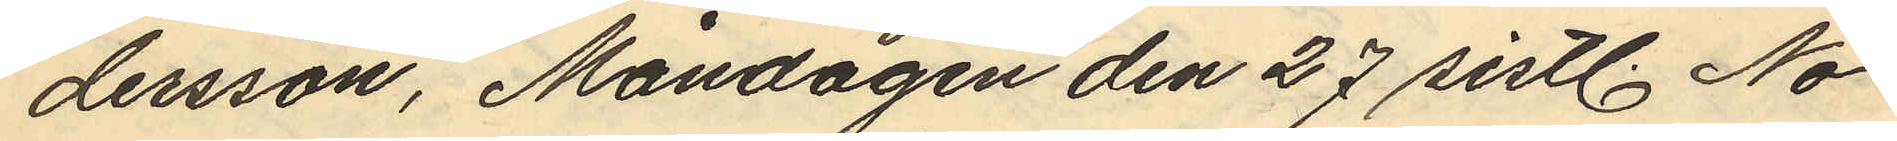dersson, Måndagen den 27 sistl. No¬
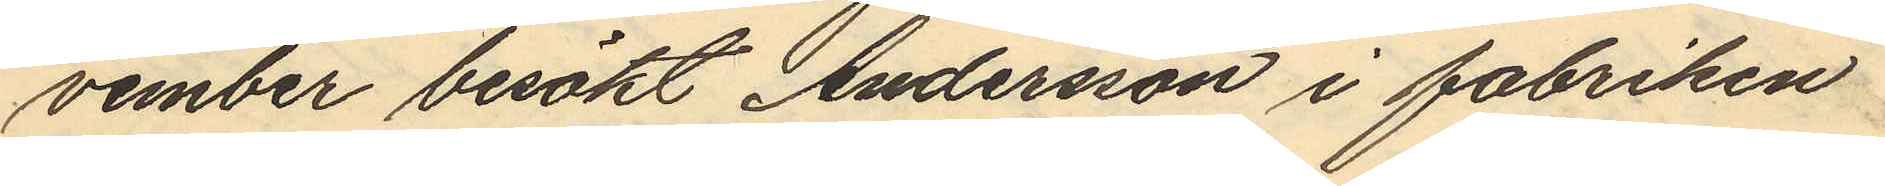vember besökt Andersson i fabriken
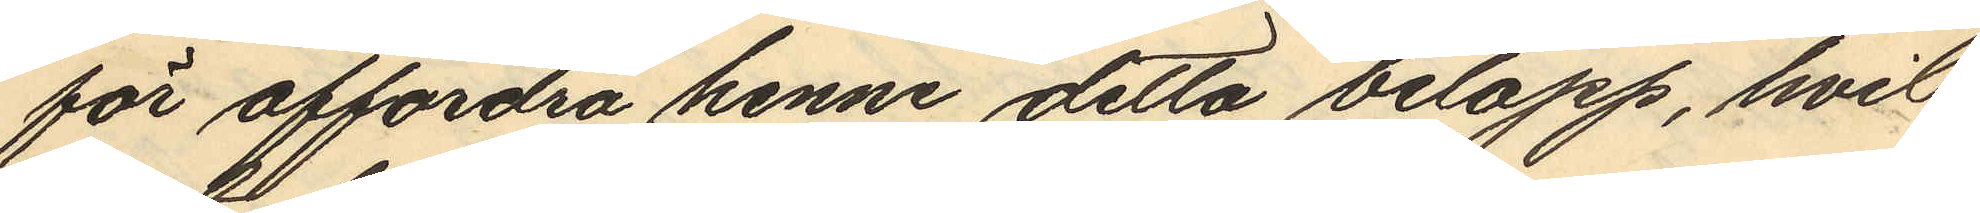för affordra henne detta belopp, hvil¬
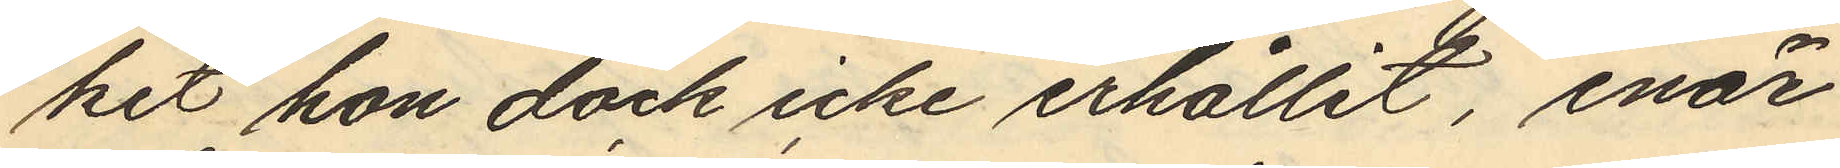ket hon dock icke erhållit, enär
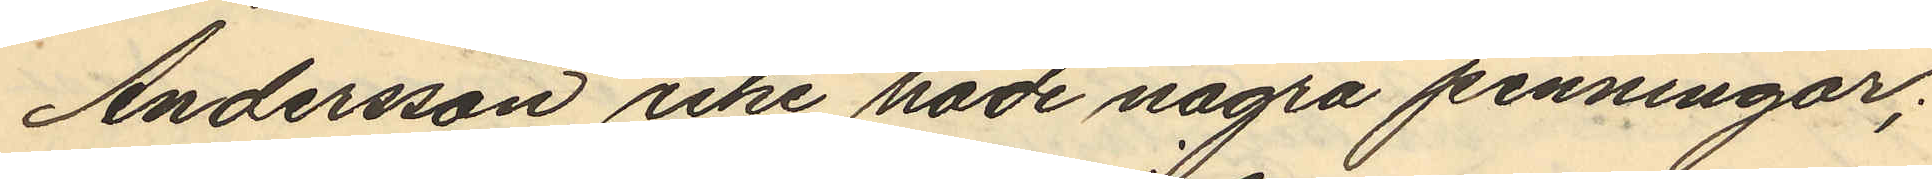Andersson icke hade några penningar;
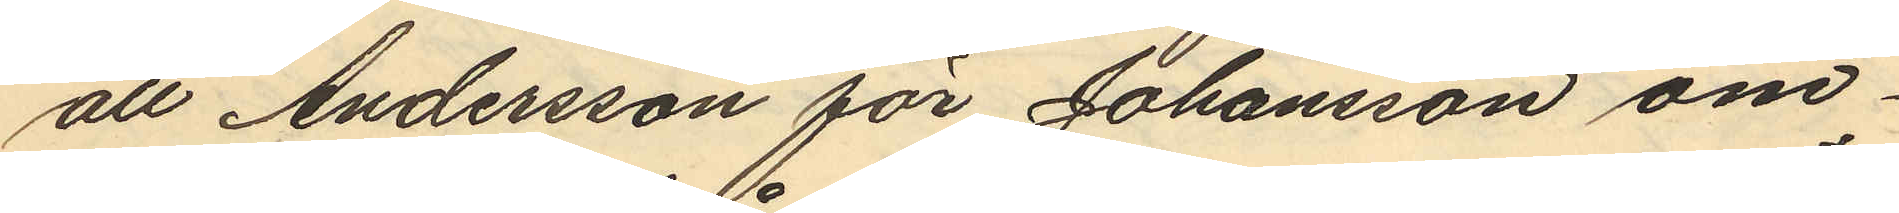att Andersson för Johansson om¬
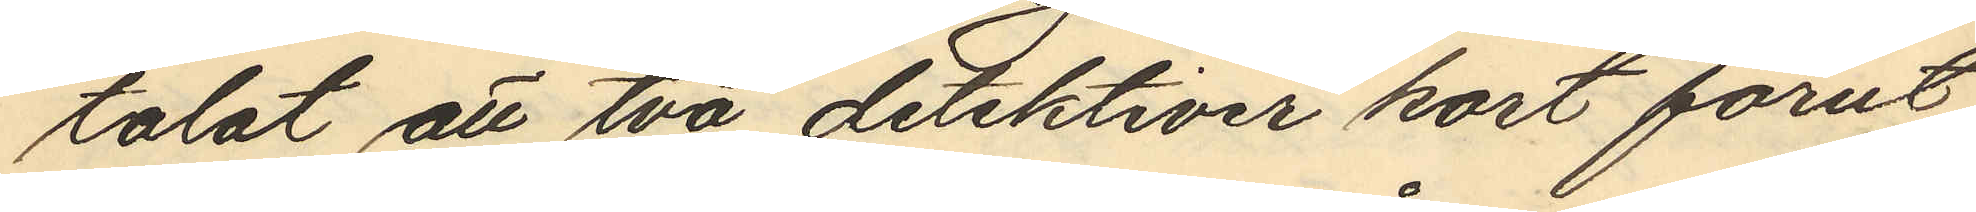talat att två detektiver kort förut
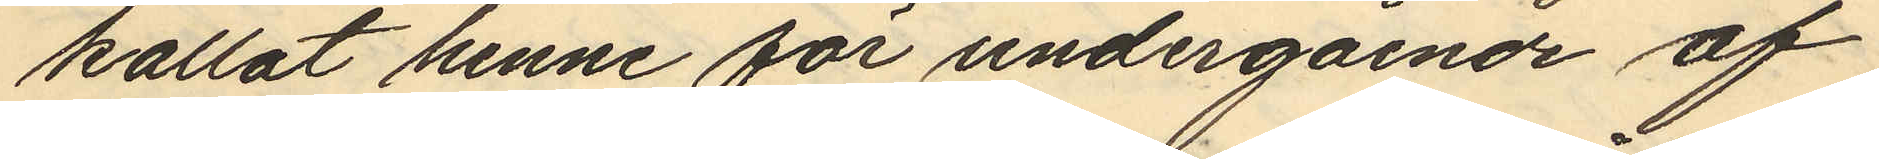kallat henne för undergående af
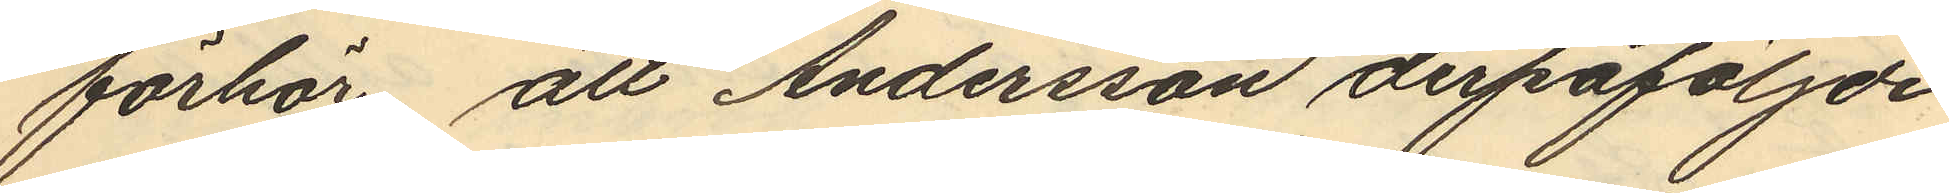förhör, att Andersson derpåföljde
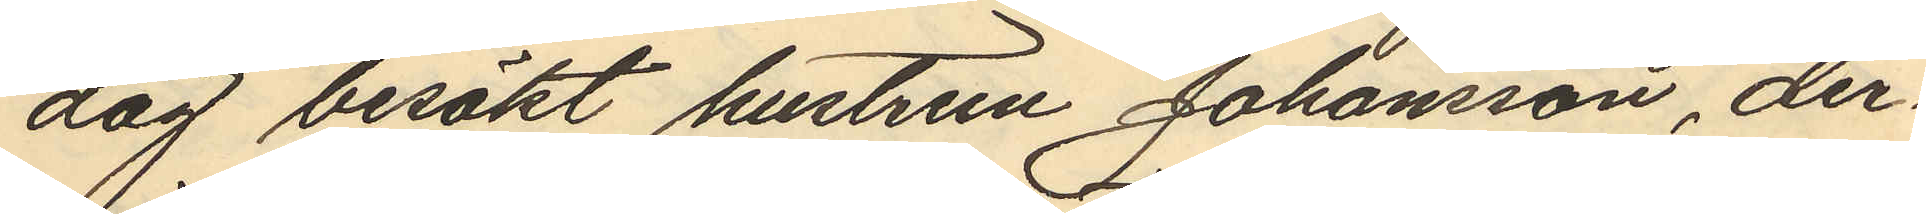dag besökt hustrun Johansson, der¬
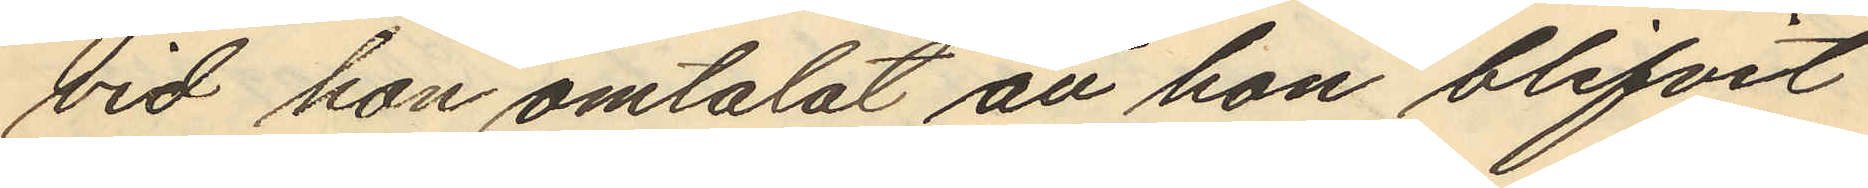vid hon omtalat att hon blifvit
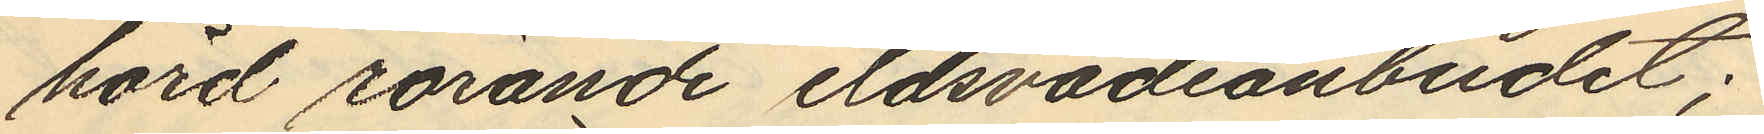hörd rörande eldsvådsanbudet;
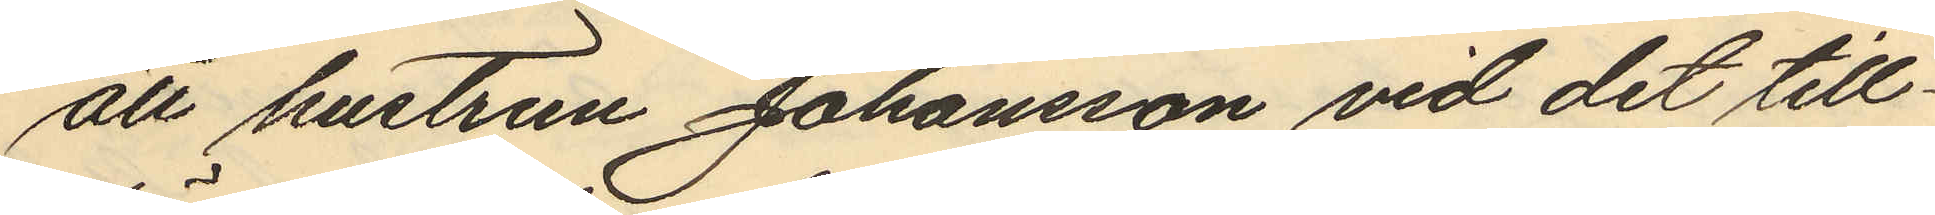att hustrun Johansson vid det till¬
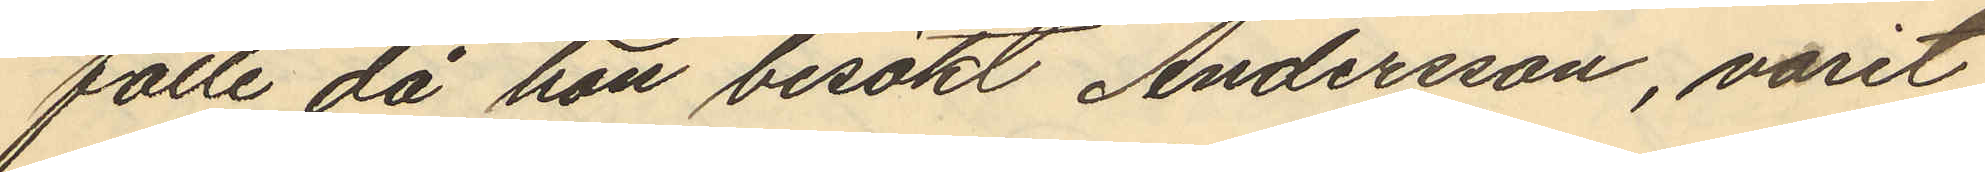fälle då hon besökt Andersson, varit
